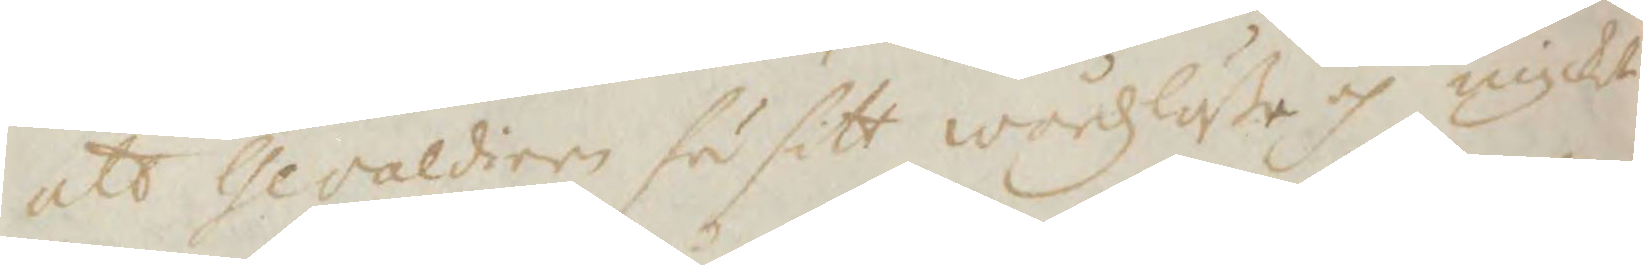att Gevaldiern fu sitt wårdzlöße oh mycket
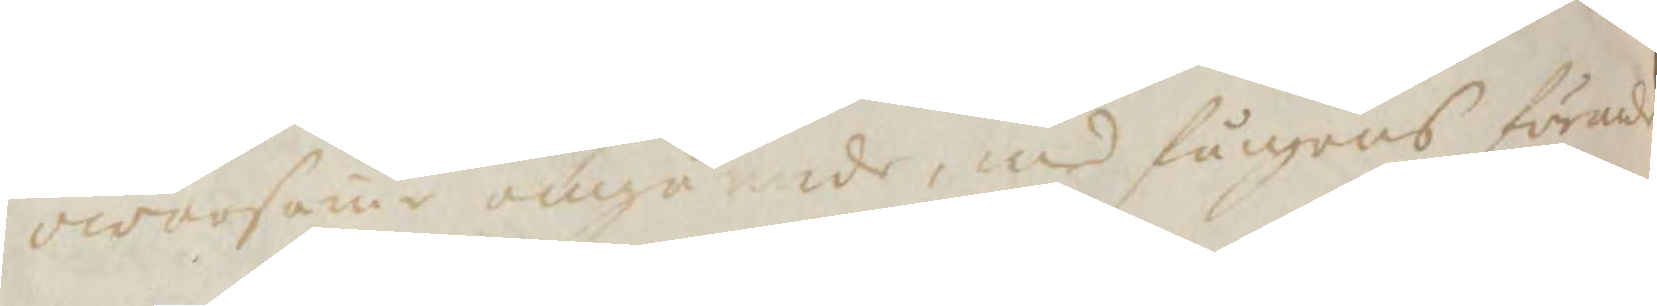owarsame omgående med fångens förande
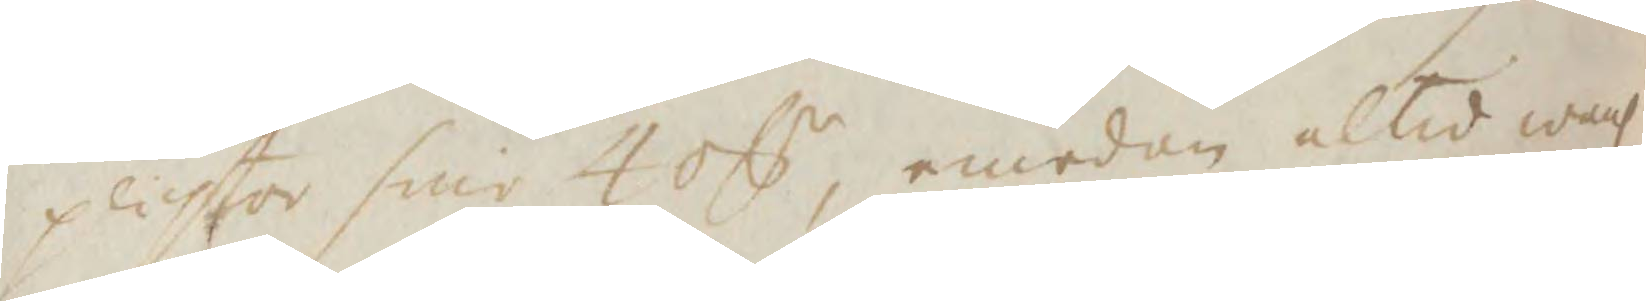plichta sine 4 okpr, emedan altid wanl
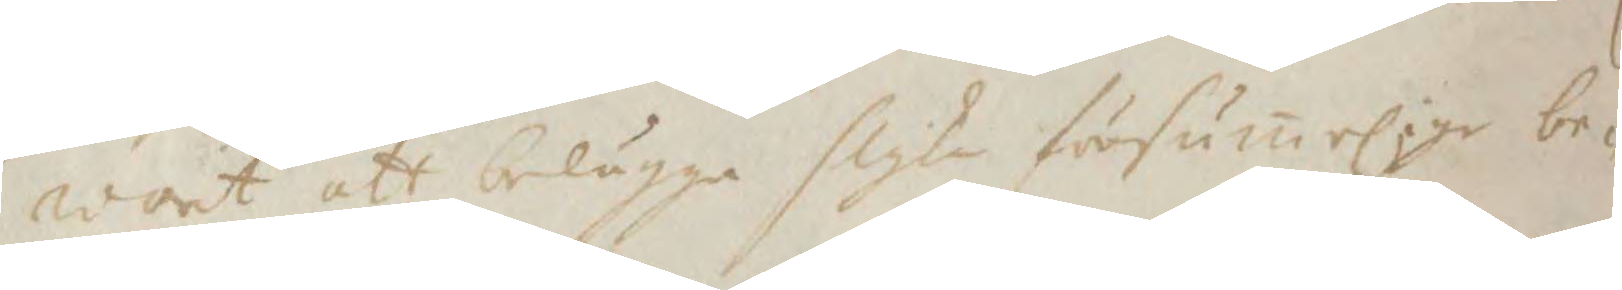warit att belägga slike försumelige be¬
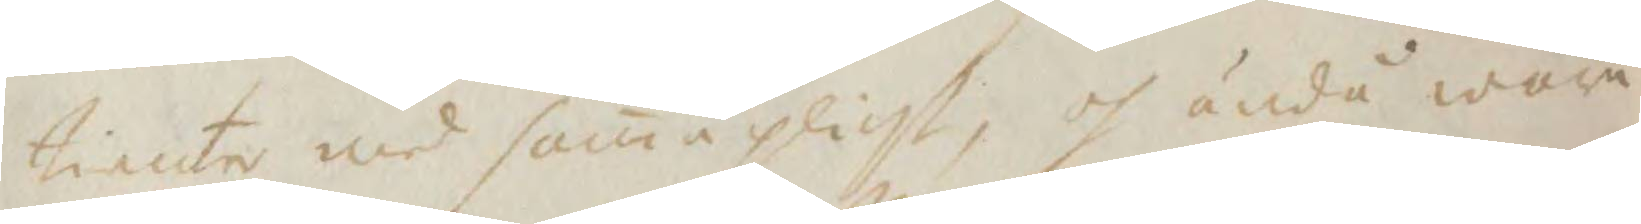tienter med sama plikt, oh ändå wara
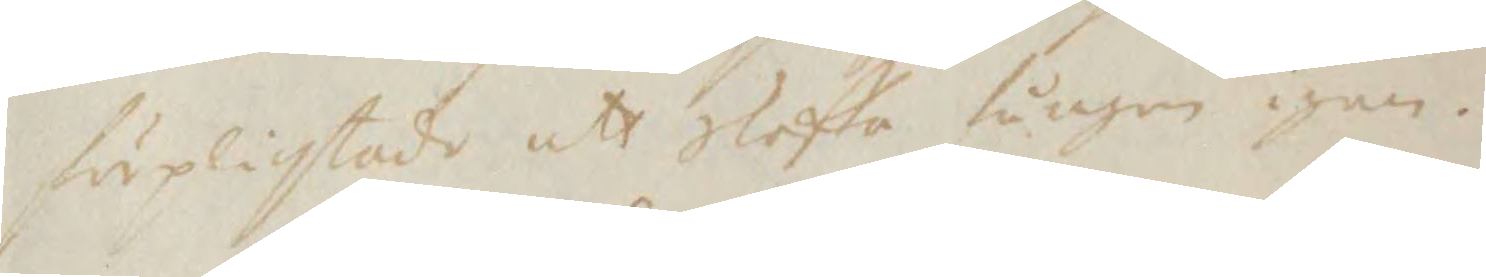förplichtade att Skaffa fången igen.
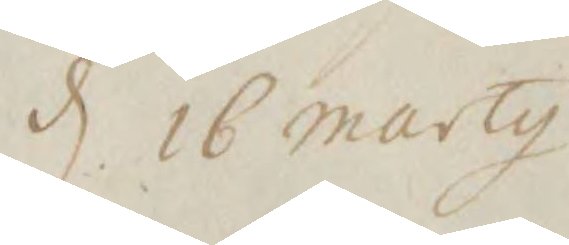d 16 marty
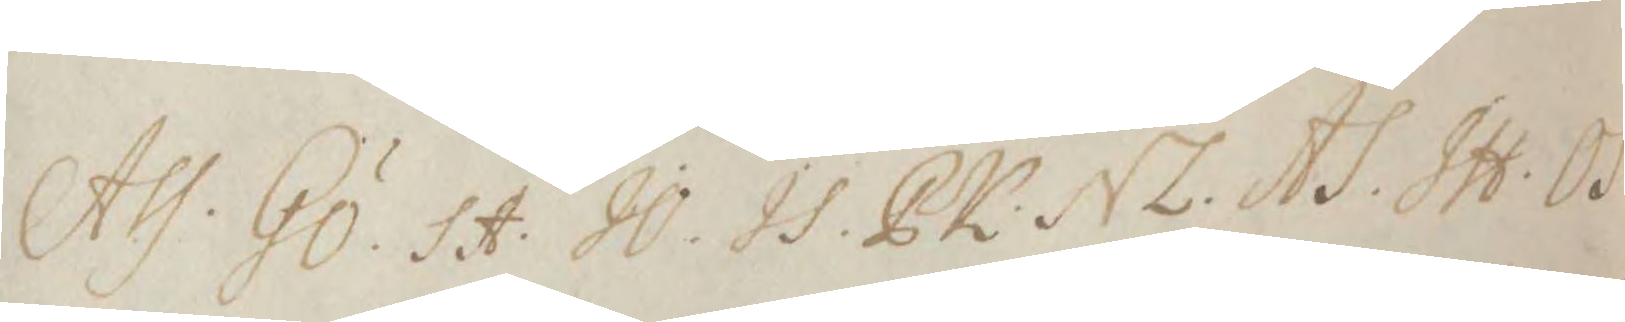Ass. GÖ. SA. JO. PK. NL. AS. IH. OS.
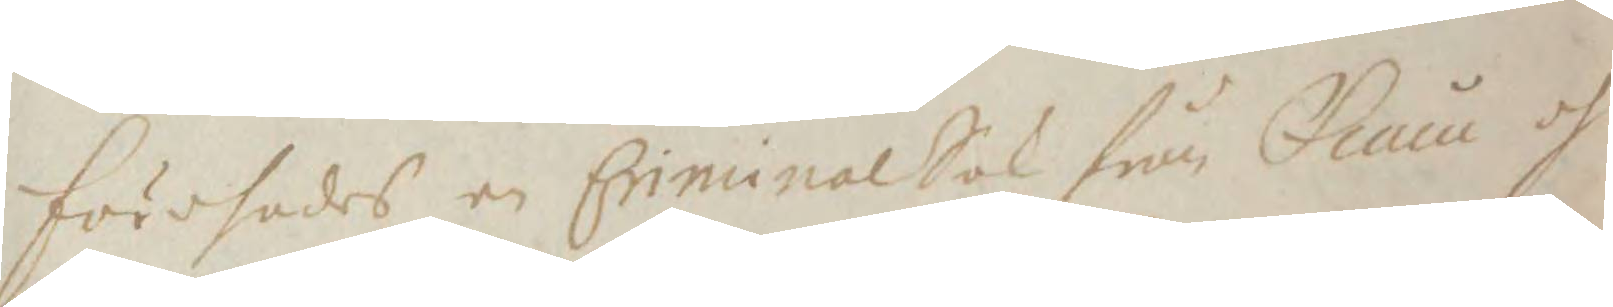Förehades en Criminal Sak från Tuna oh
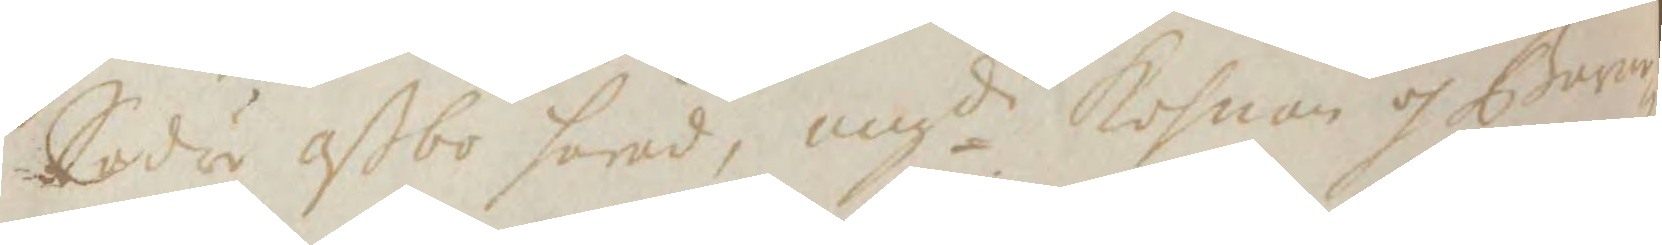Södra aßbo härad, angde Kohnan oh Barna¬
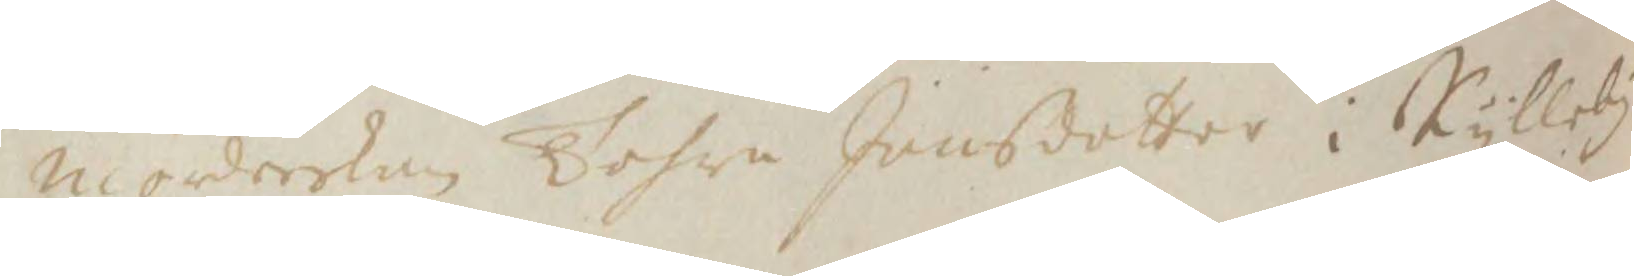mörderskan Tohra Jonsdotter i Kylleby
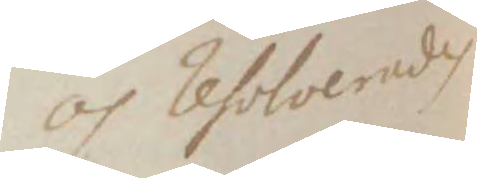oh resolverades
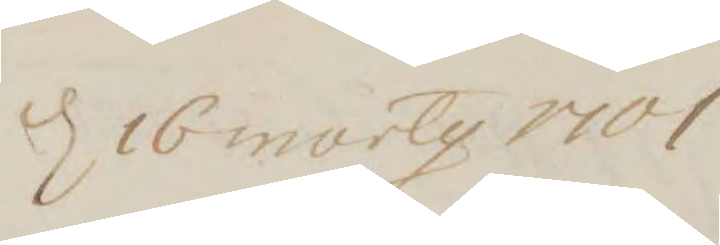d 16 marty 1701
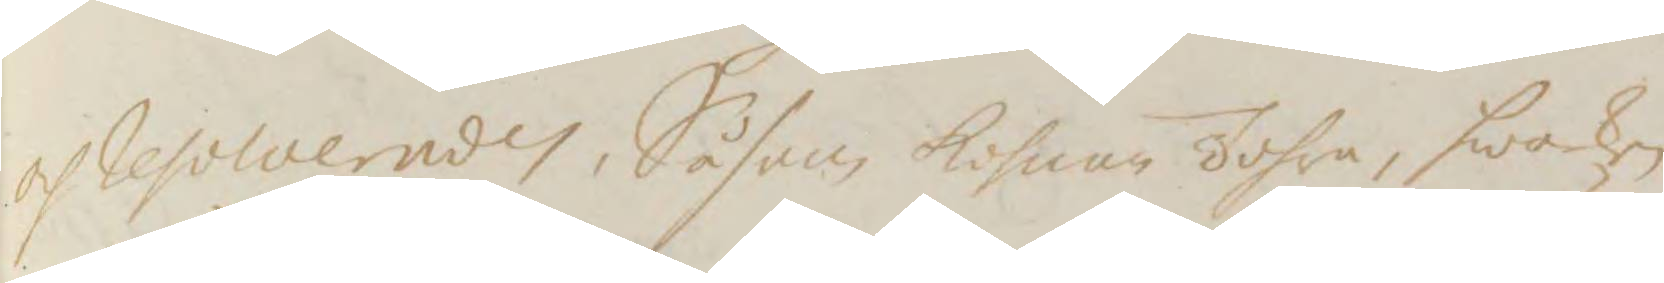och resolverades, Såsom kohnan Tohra, hwarken
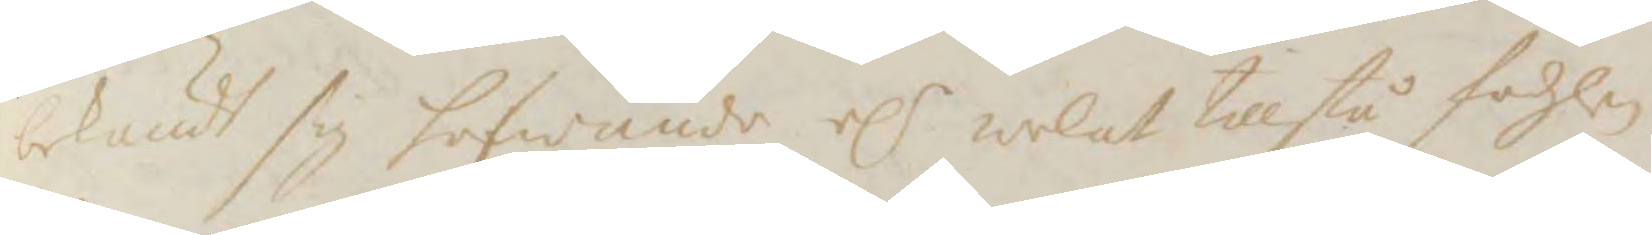bekändt sig hafwande elr welat tillstå födzlen
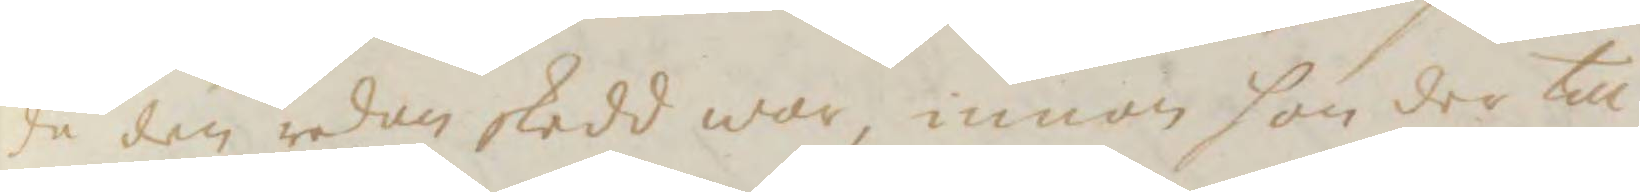då den redan skedd war, innan hon der till
